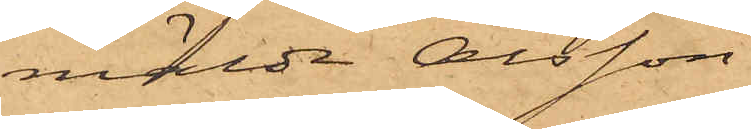mälde Olsson.
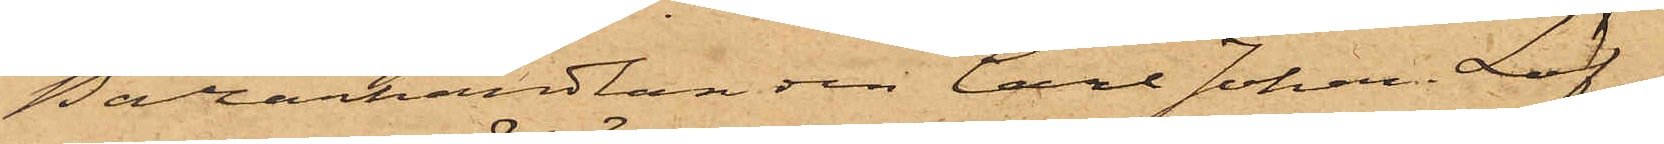Bazarhandlanden Carl Johan Löf,
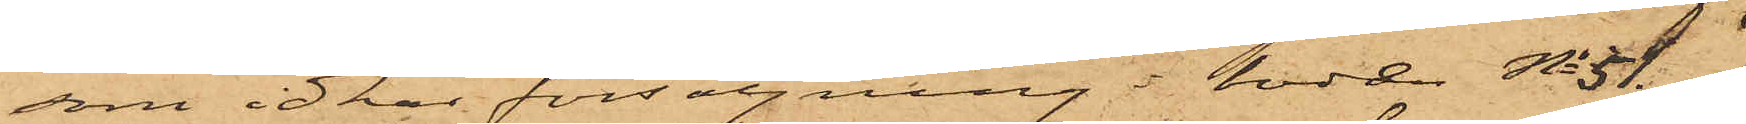som idkar försäljning i boden No 51
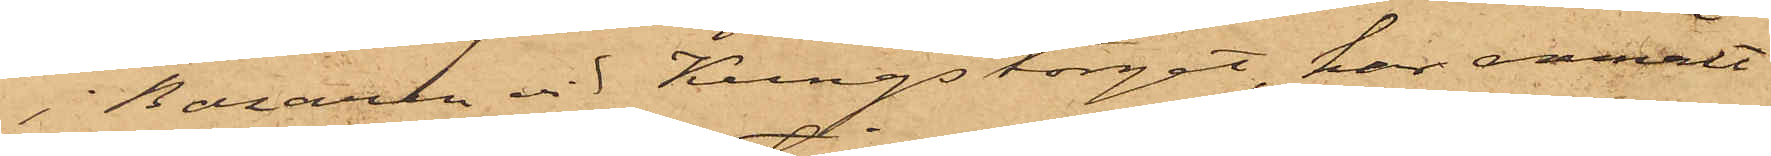i Bazaren vid Kungstorget, har anmält
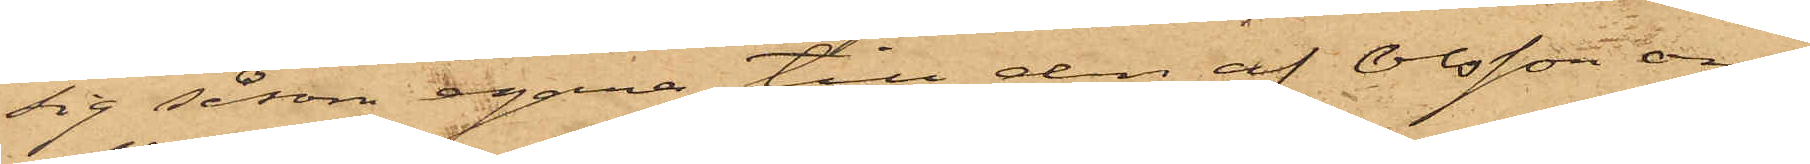sig såsom egare till den af Olsson om¬
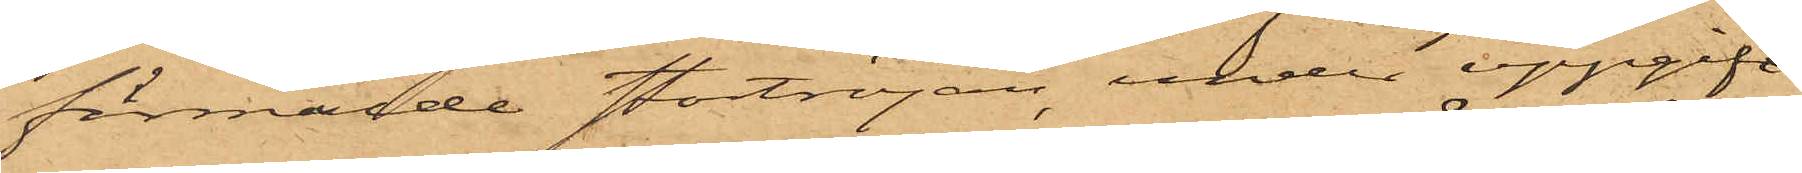förmälde stortröjan, under uppgift
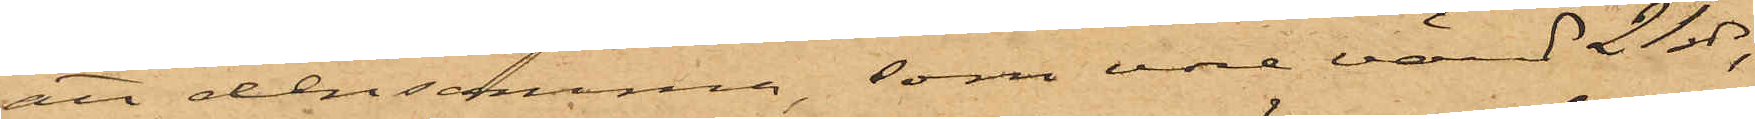att densamma, som vore värd 21 rdr,
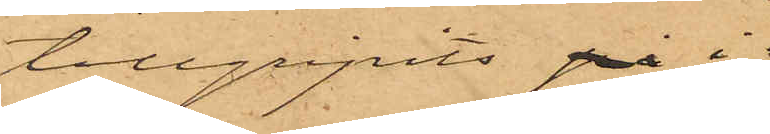tillgripits på i
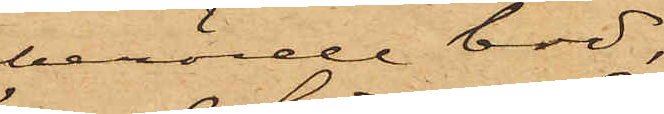berörde bod,
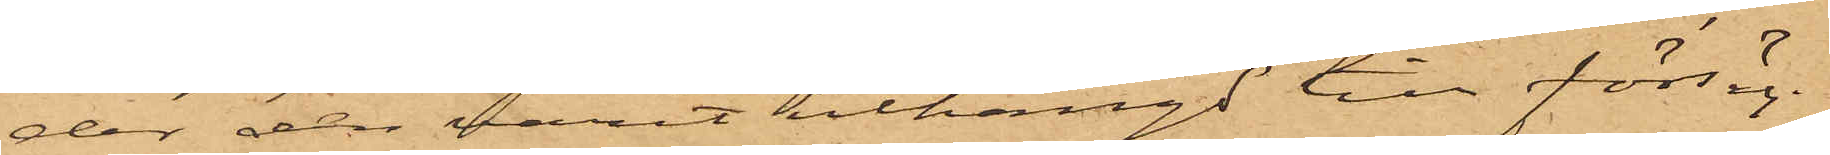der den varit uthängd till försälj¬
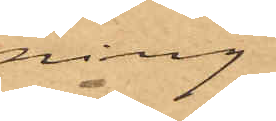ning.
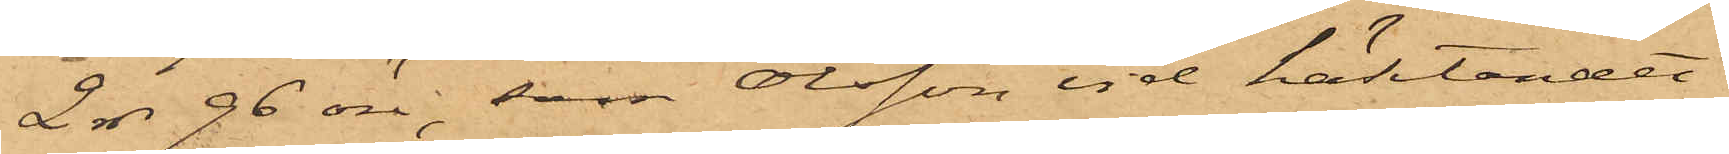2 rdr 96 öre, som Olsson vid häktandet
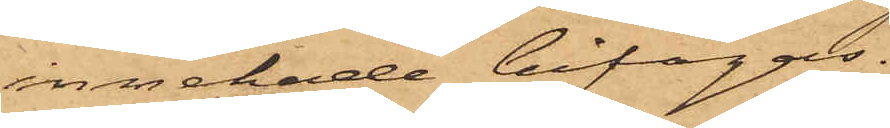innehade bifogas.
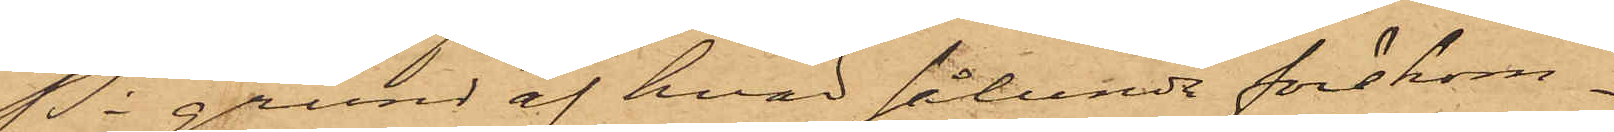På grund af hvad sålunda förekom¬
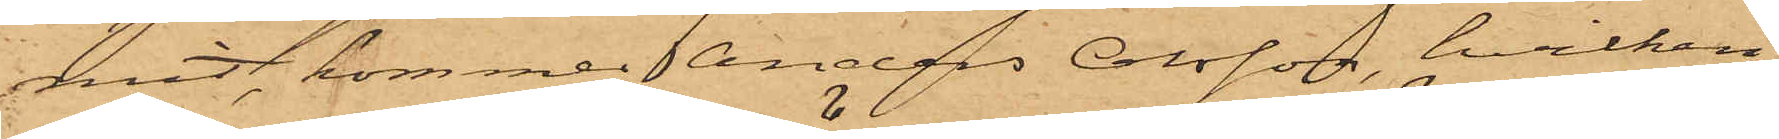mit, kommer Anders Olsson, hvilken
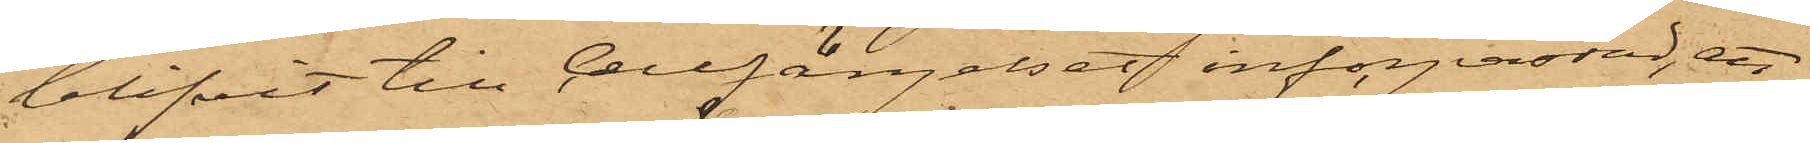blifvit till Cellfängelset införpassad, att
